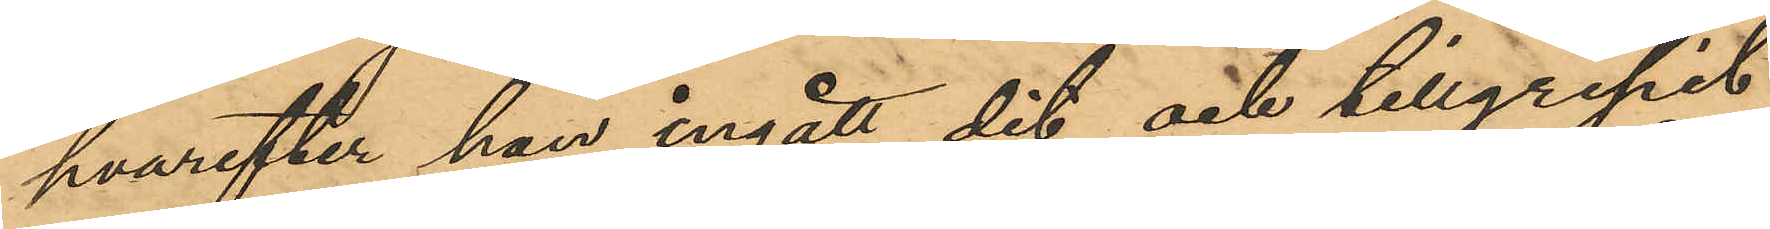hvarefter han ingått dit och tillgripit
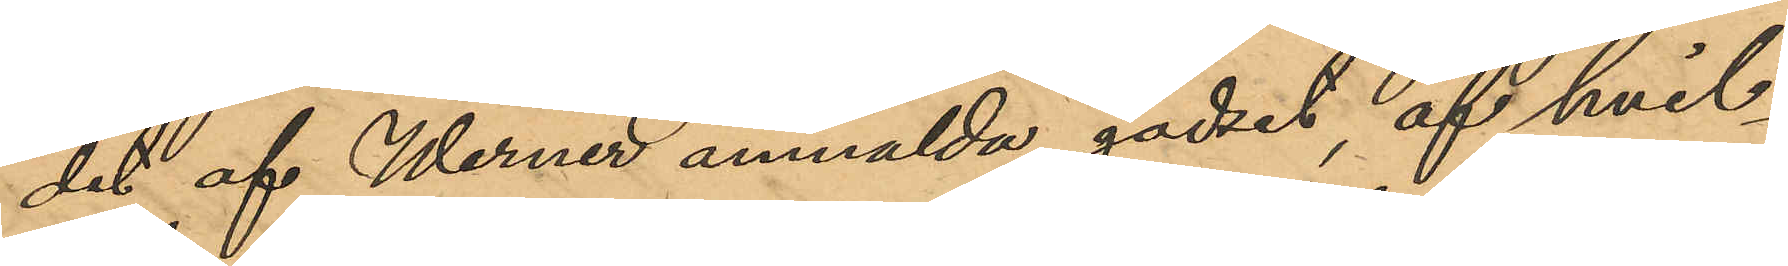det af Werner anmälda godset, af hvil¬
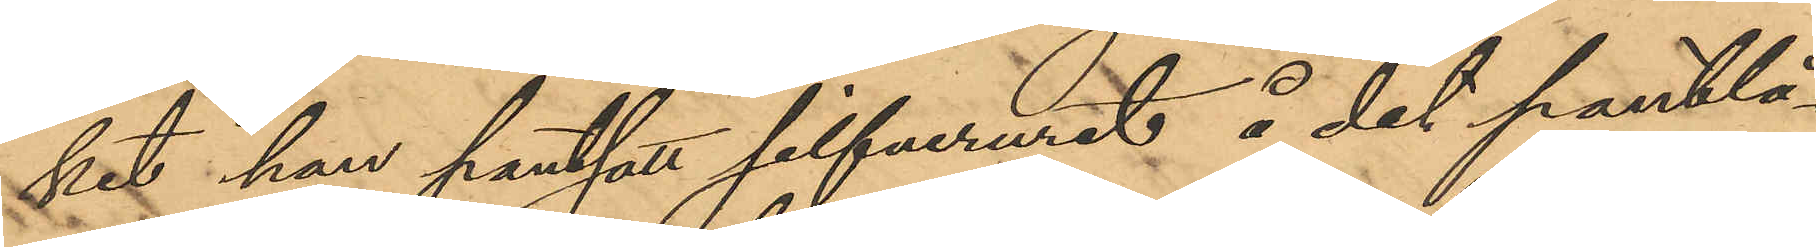ket han pantsatt silfveruret å det pantlå¬
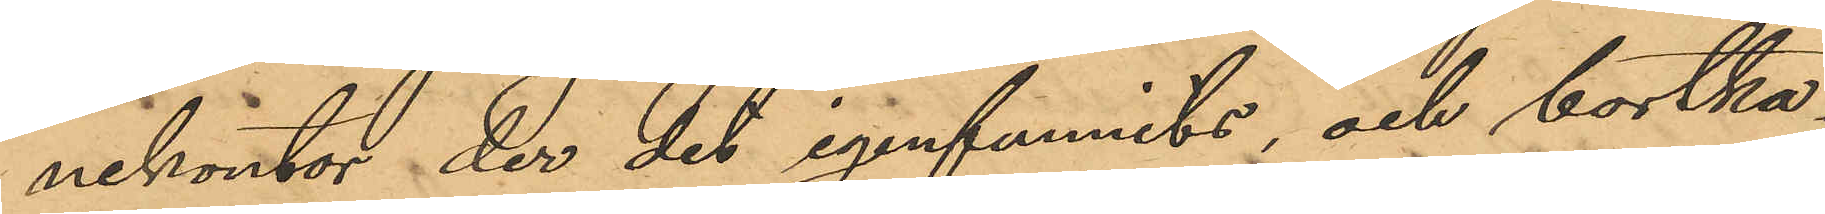nekontor, der det igenfunnits och bortka¬
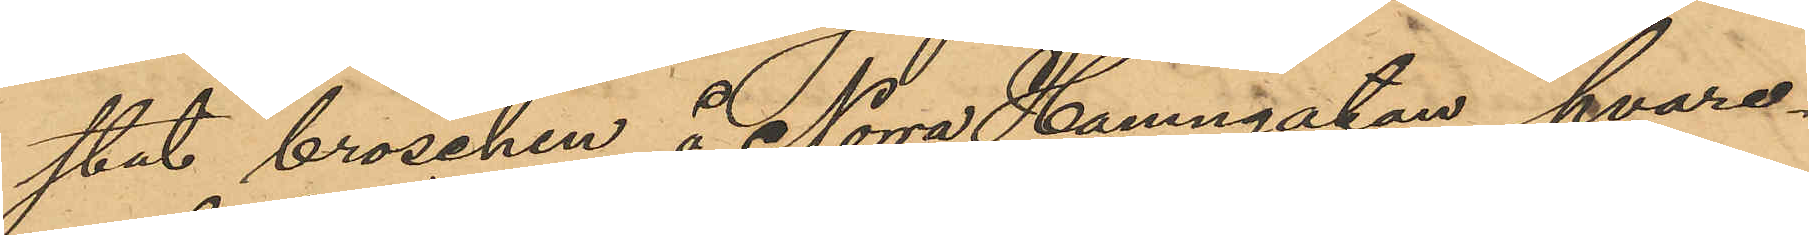stat broschen å Norra Hamngatan, hvare¬
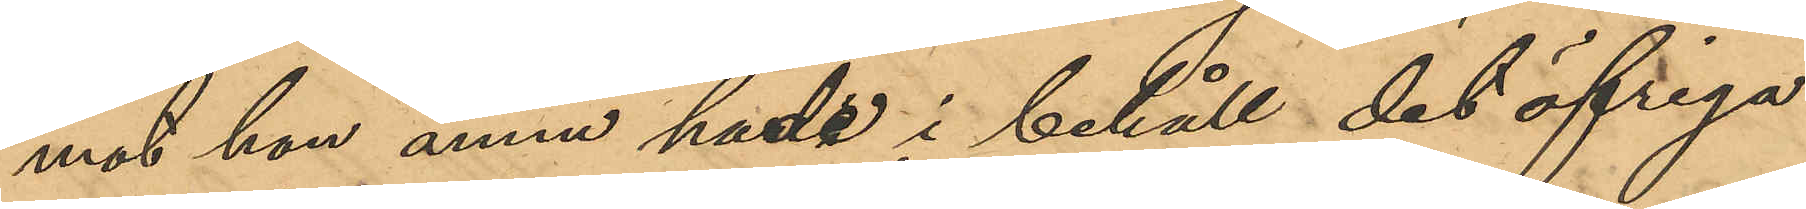mot han ännu hade i behåll det öfriga
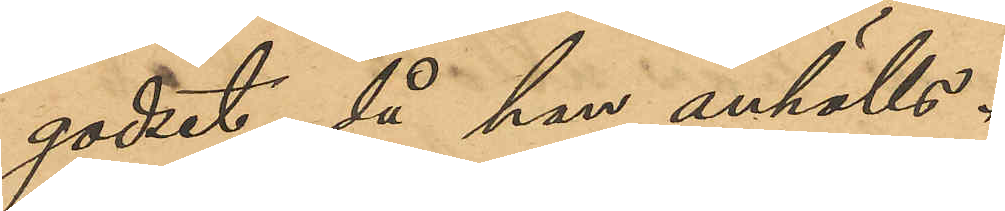godset, då han anhölls.
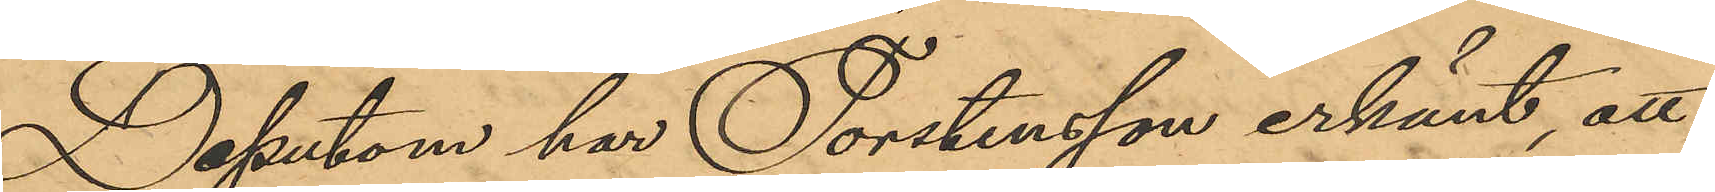Desutom har Torstensson erkänt, att
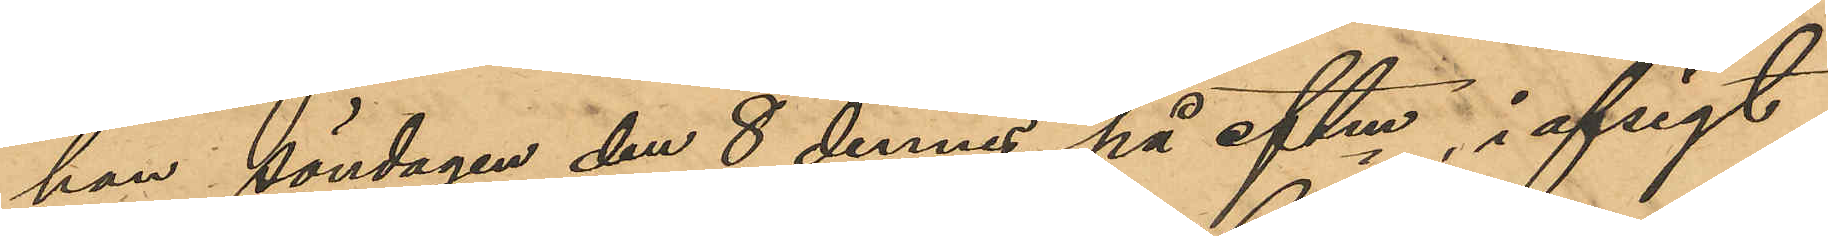han Söndagen den 8 dennes på eftm, i afsigt
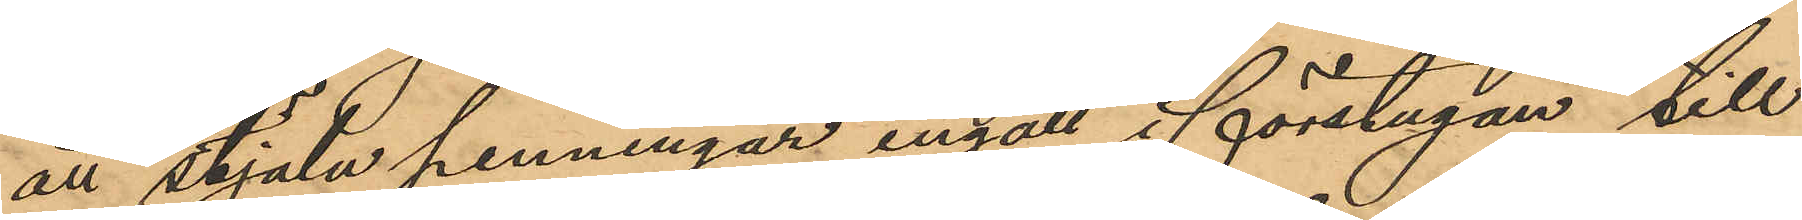att stjäla penningar, ingått i förstugan till
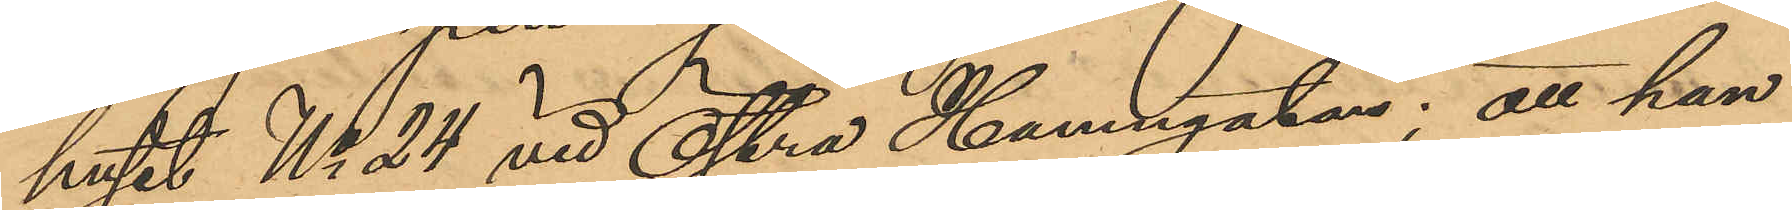huset No 24 vid Östra Hamngatan; att han
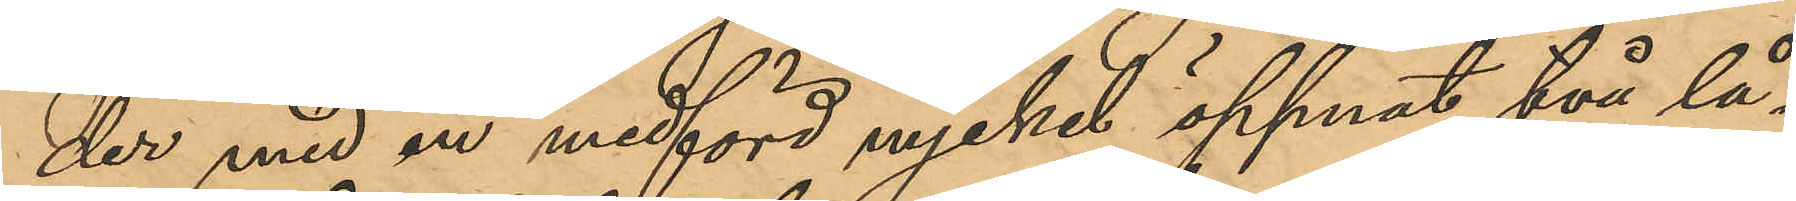der med en medförd nyckel öppnat två lå¬
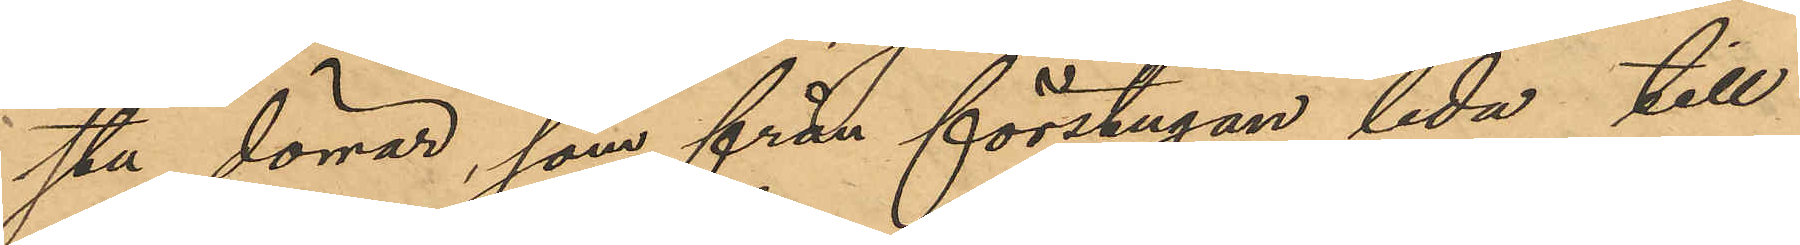sta dörrar, som från förstugan leda till
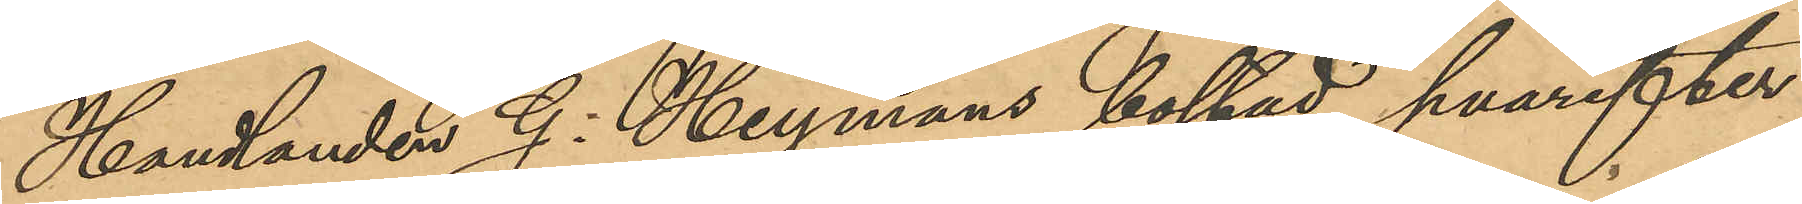Handlanden G. Heymans bostad, hvarefter
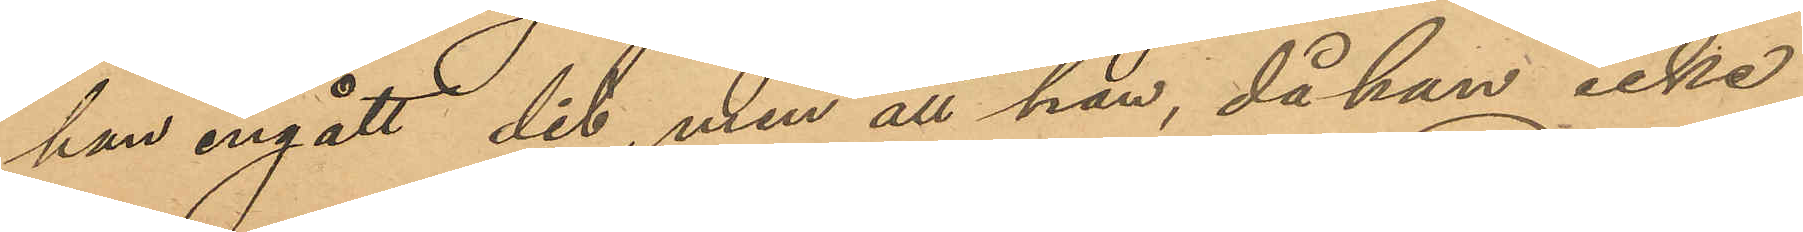han ingått dit, men att han, då han icke
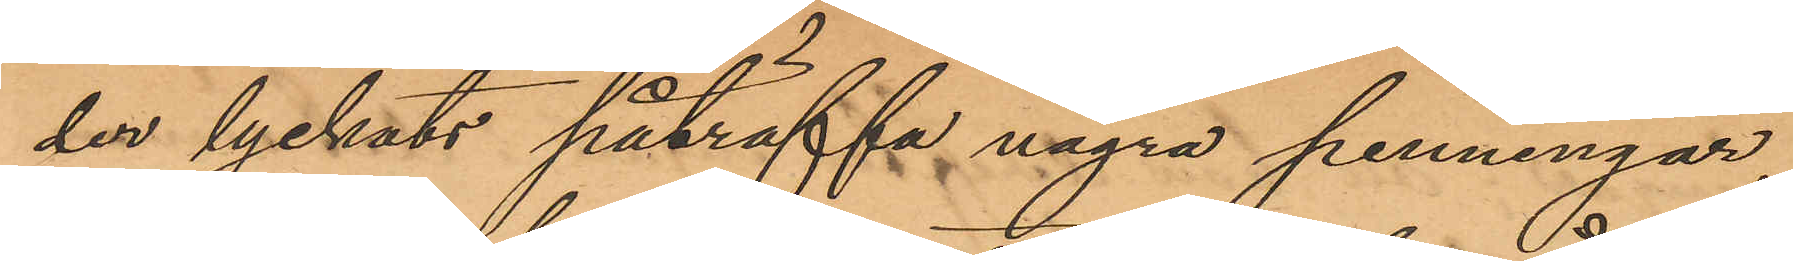der lyckats påträffa några penningar,
